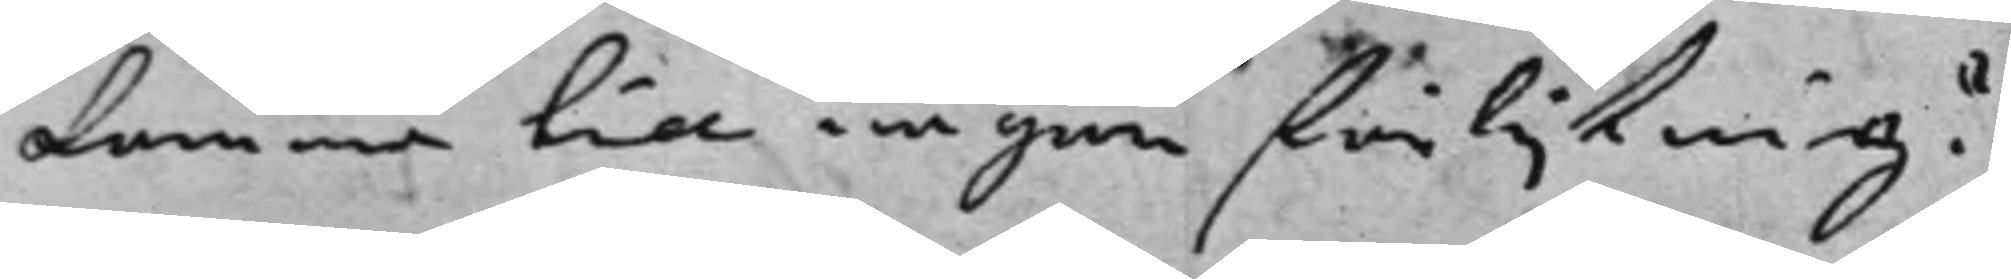komma till någon förlijkning?
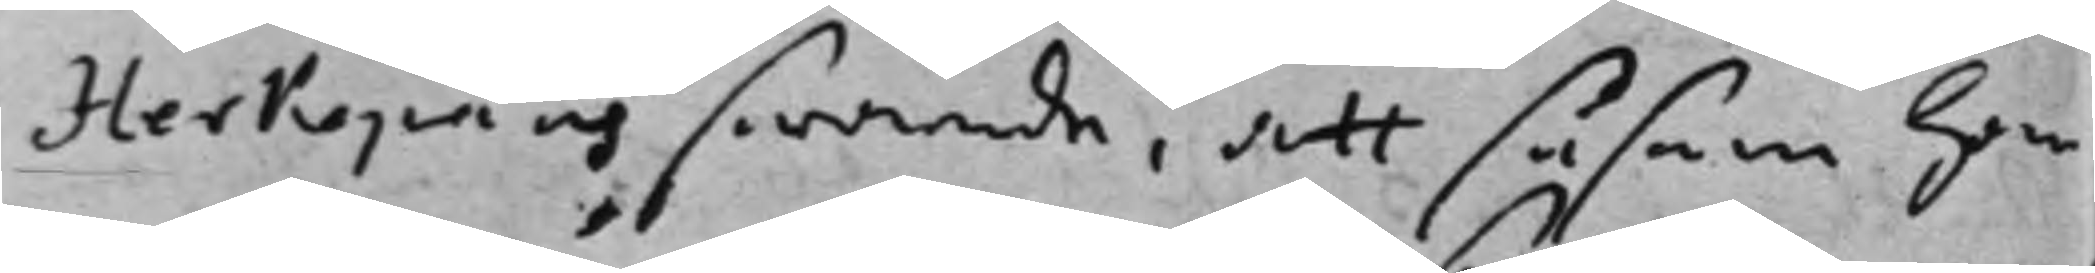Herkepäus swarade, att såsom han
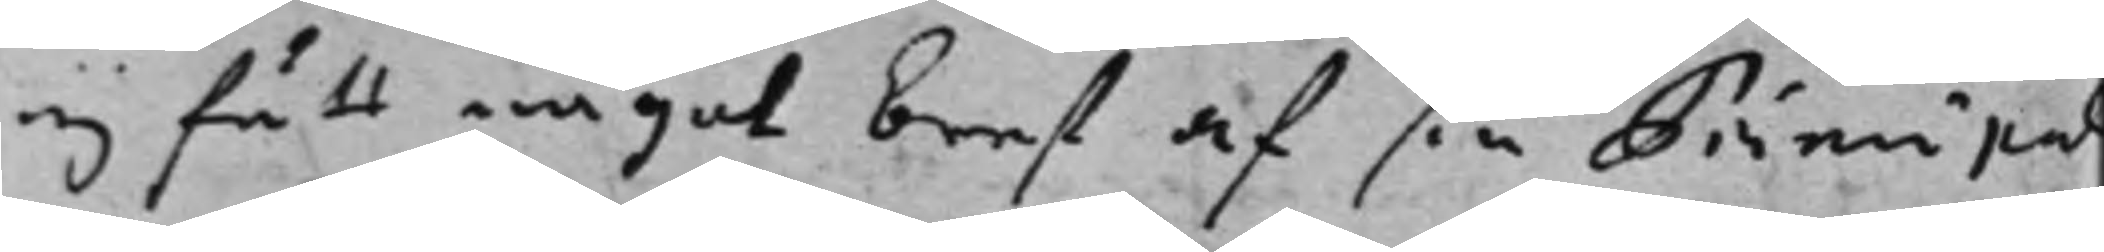ej fått något bref af sin Principal
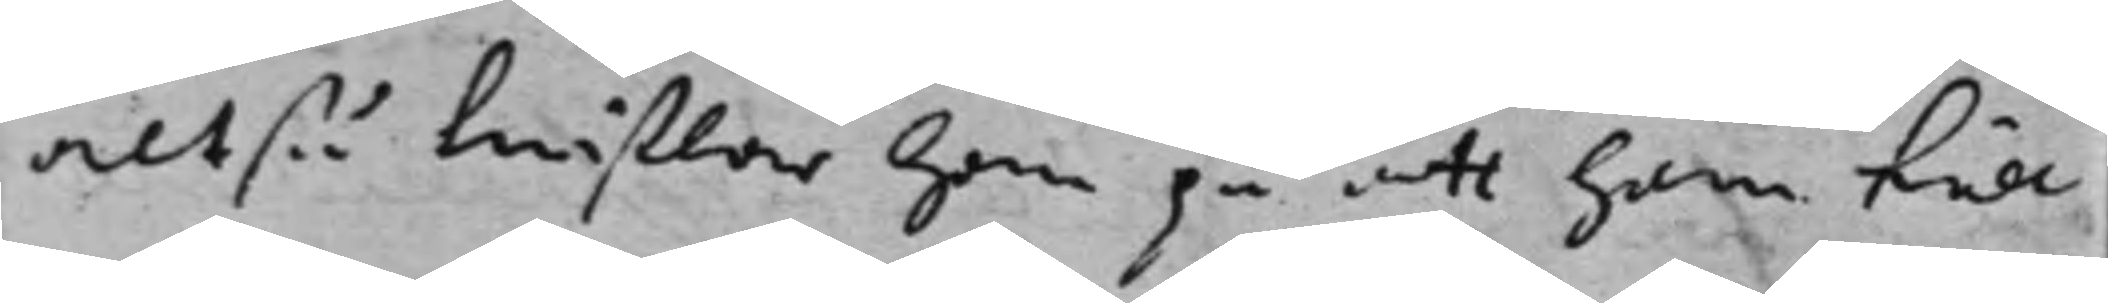altså twiftlar han på att han till
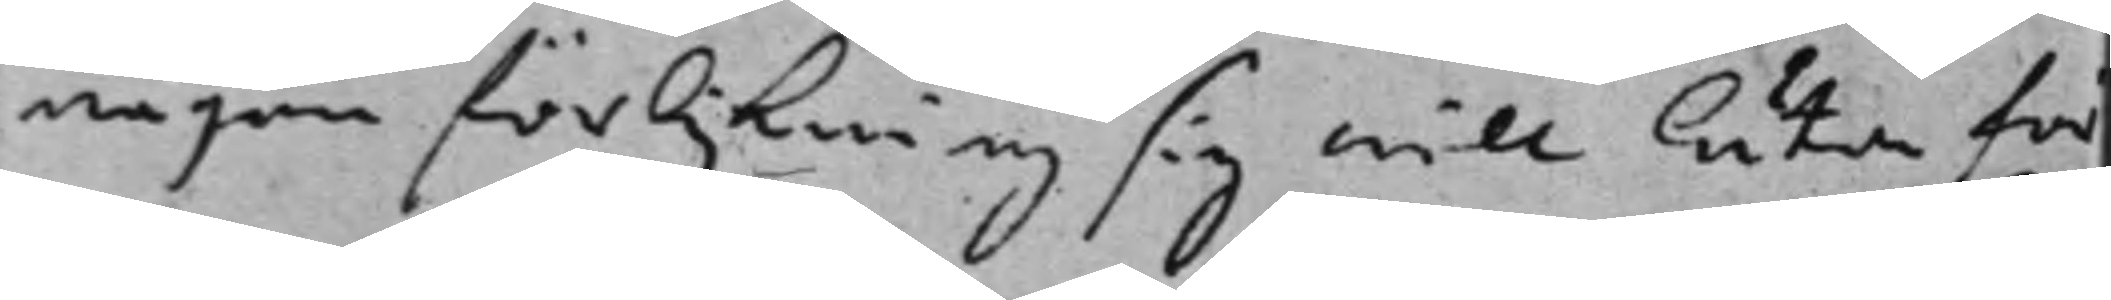någon förlikning sig will låta för¬
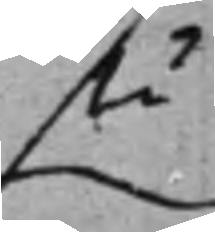stå
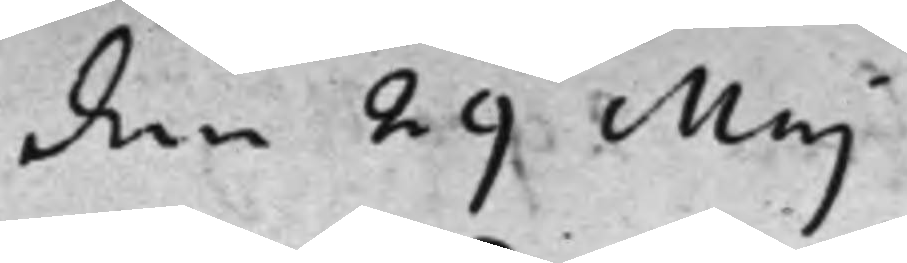den 29 Maj
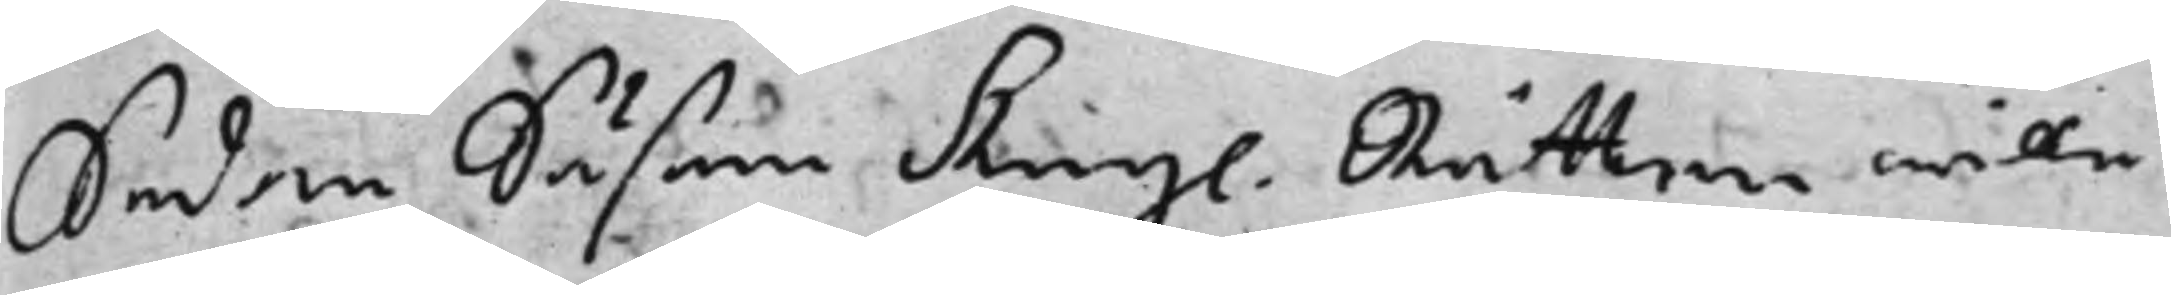Sedan Såsom Kongl. Rätten wille 
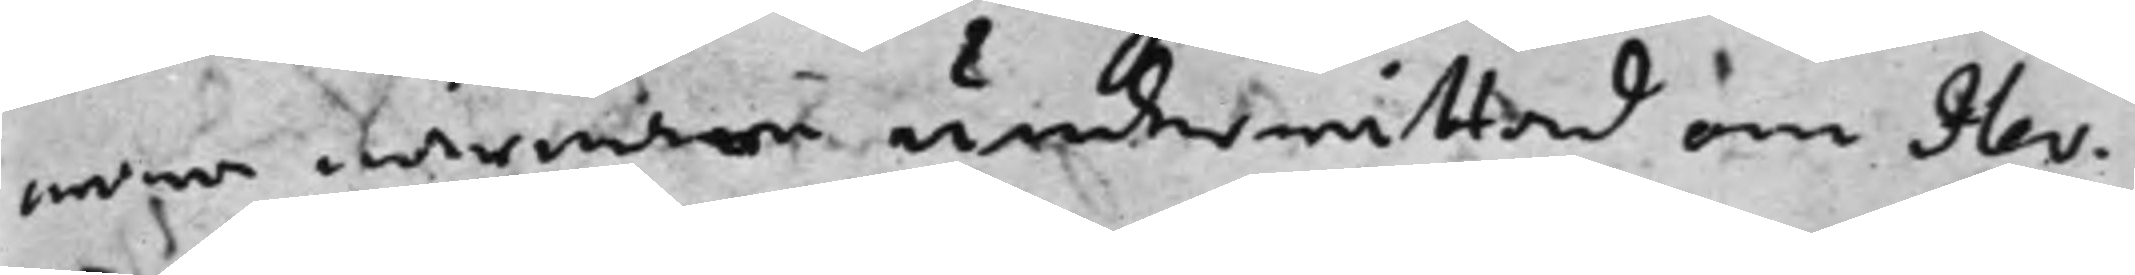wara närmare underrättad om Her¬
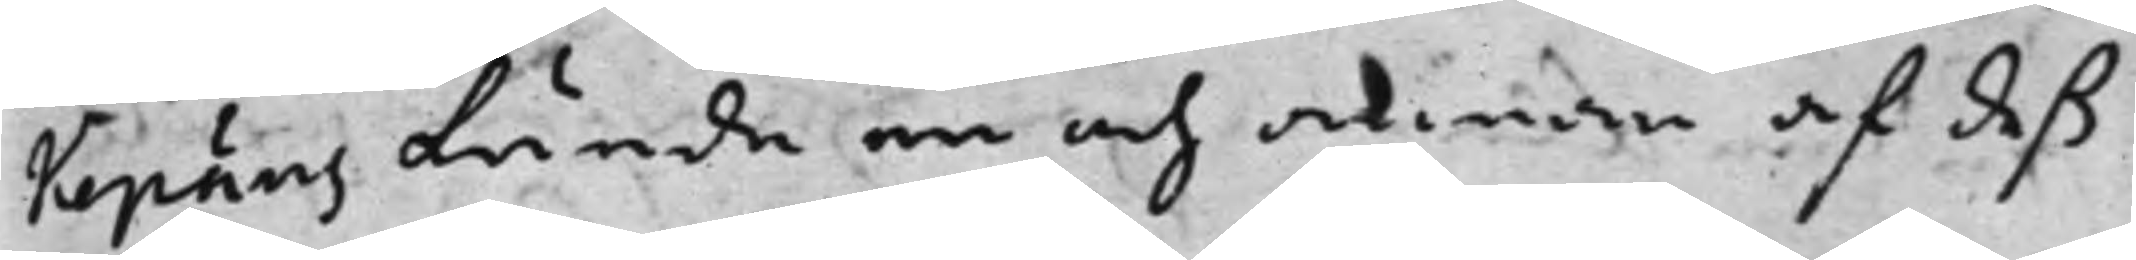Kepäus kunde en och annan af deß
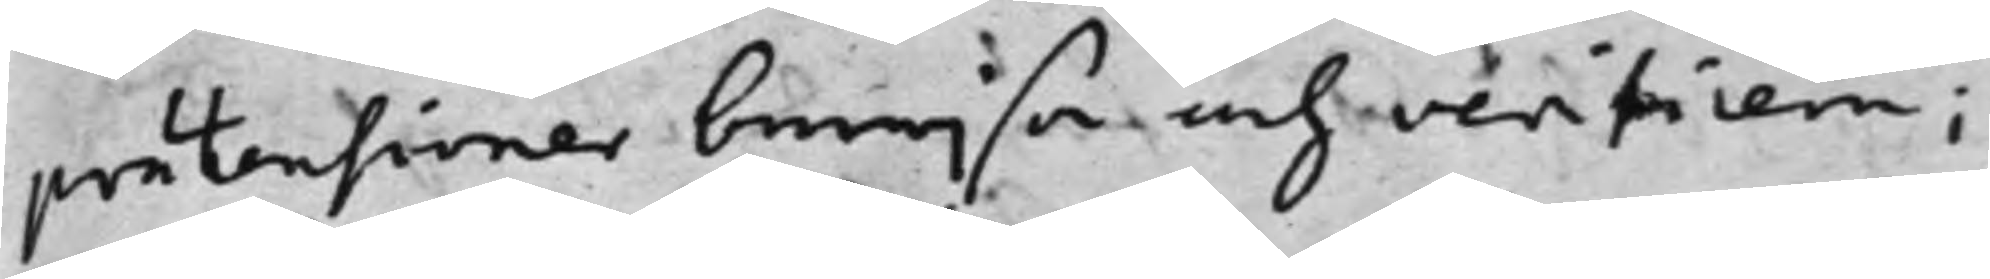prätensioner bewijsa och verifiera;
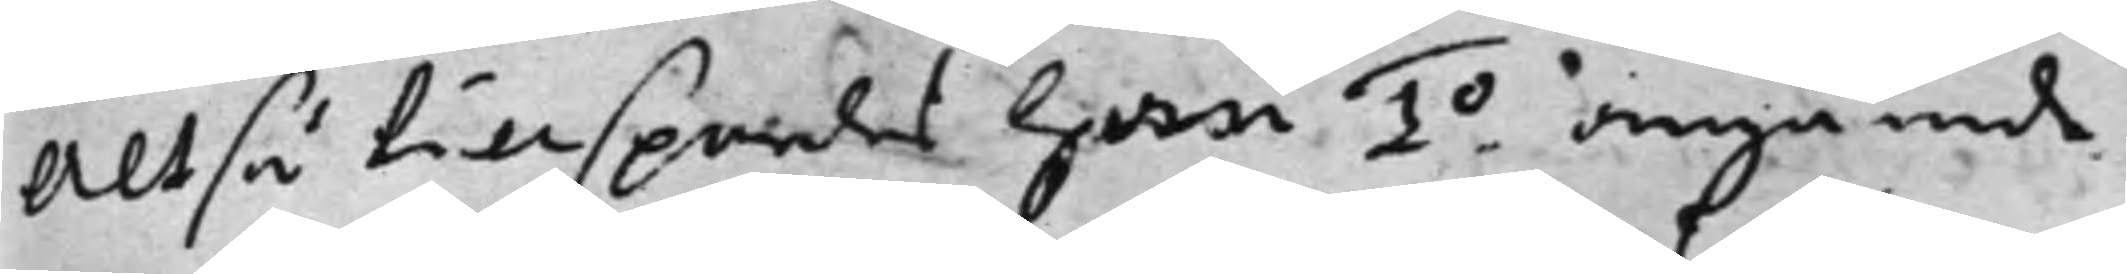Altså tillspordes han 1o. angående
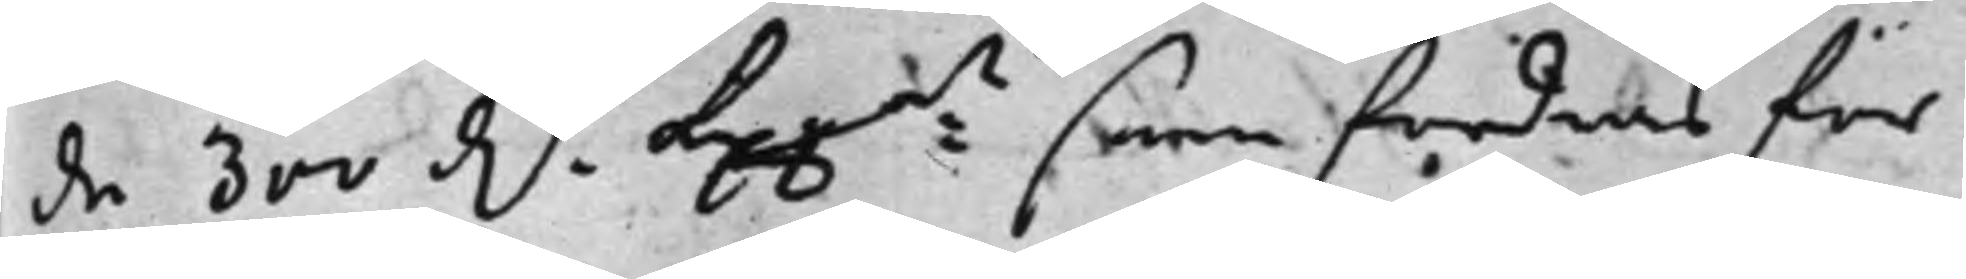de 300 dr. Kpp:mt som fordras för 
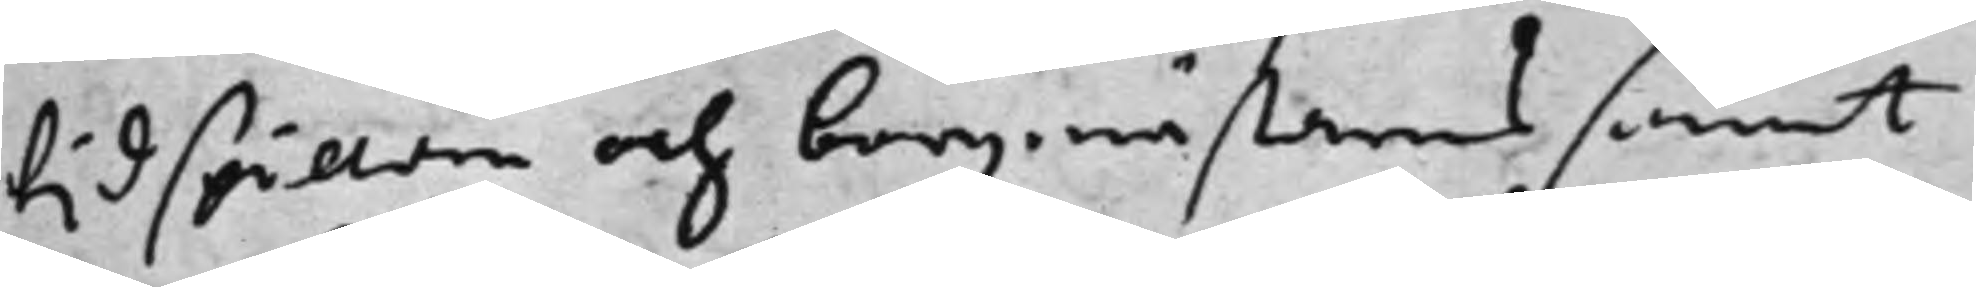tidspillan och borgmästares samt
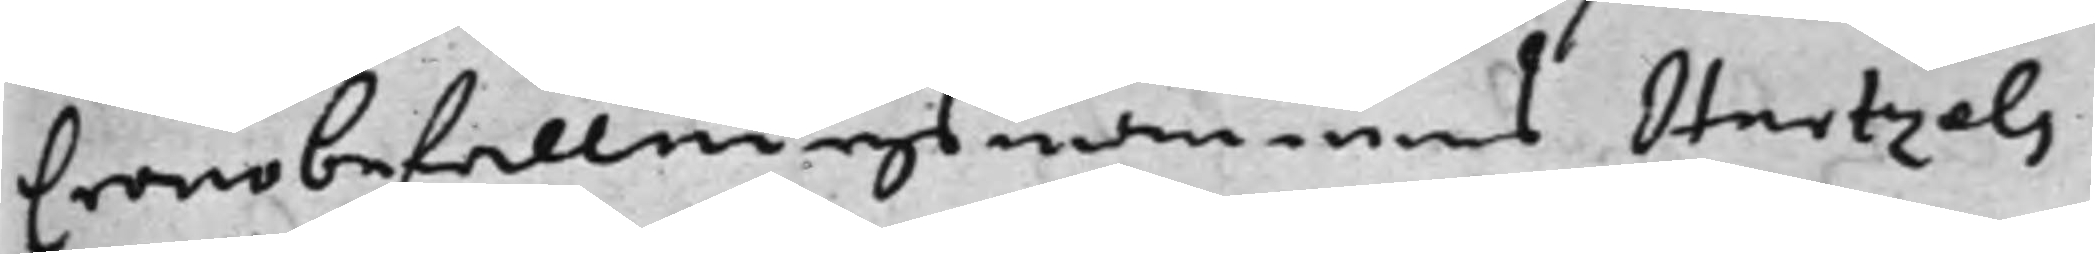Cronobefallningsmannens Hartzels
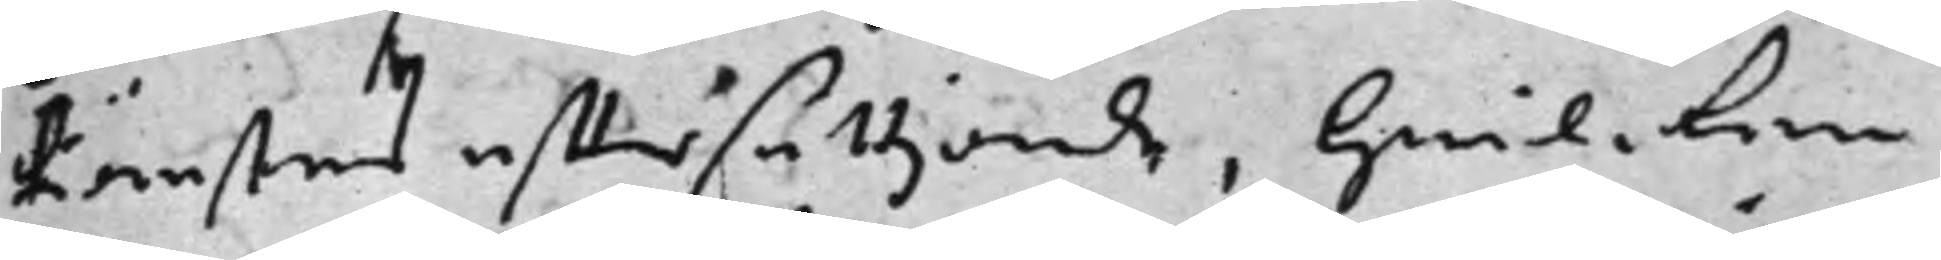tiänsters efftersättande, hwilcken
